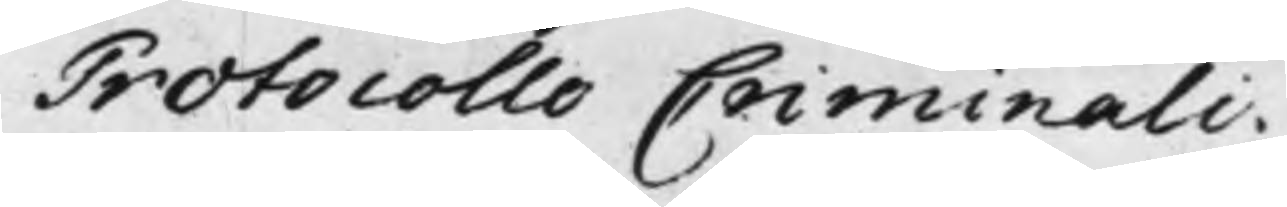Protocollo Criminali.
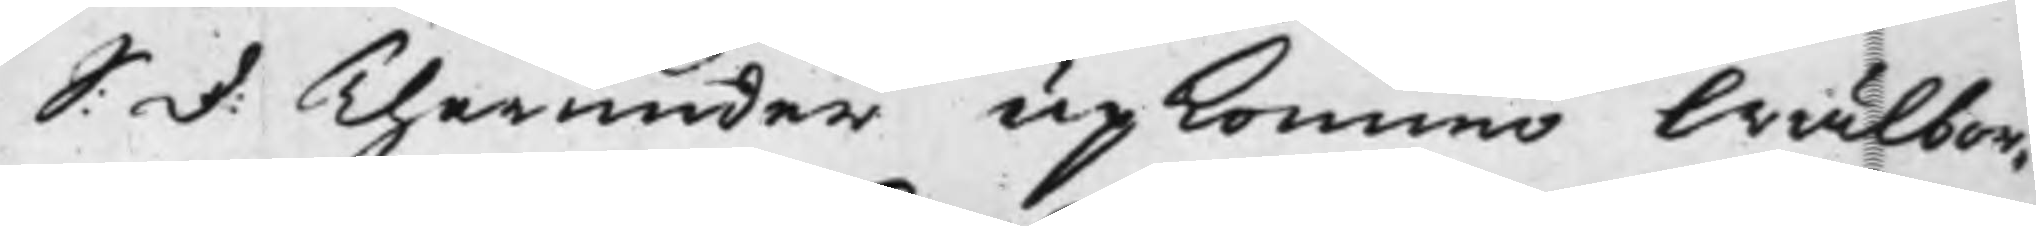S: D: Therunder upkommo Wälbor¬
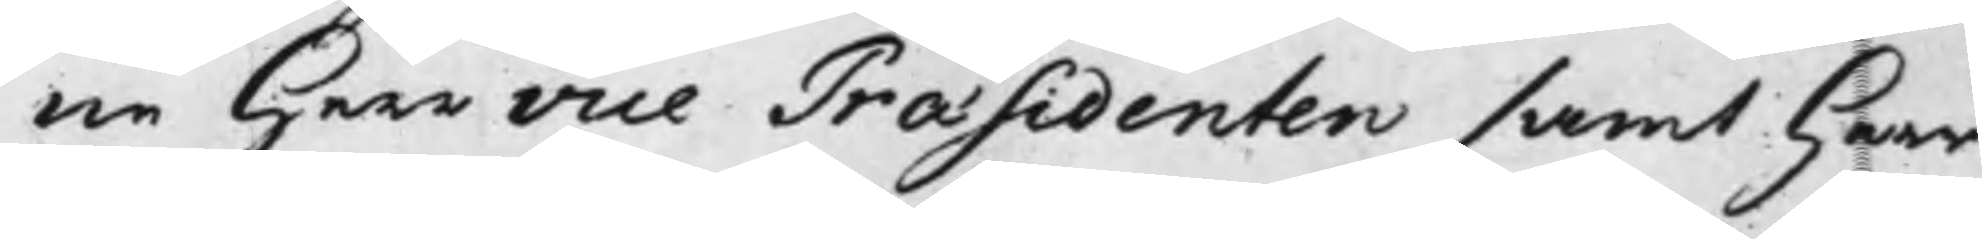ne Herr vice Præsidenten samt Herr
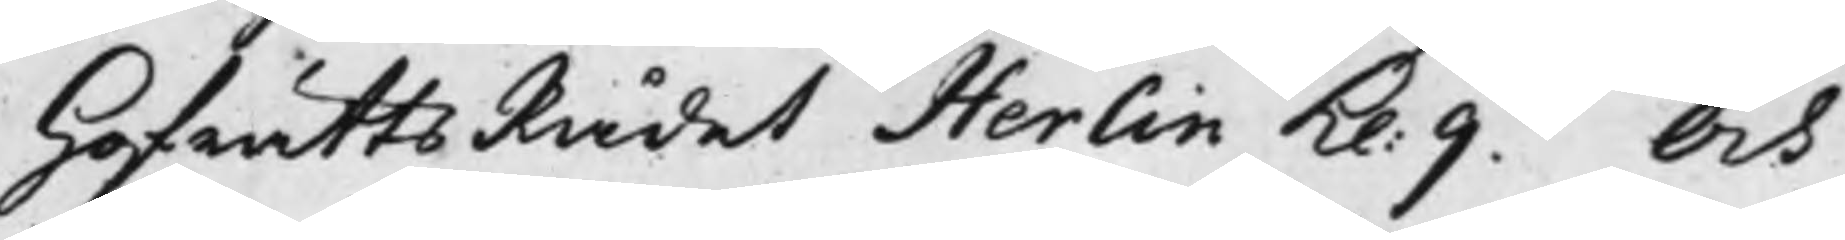HofrättsRådet Herlin Kl: 9. Och
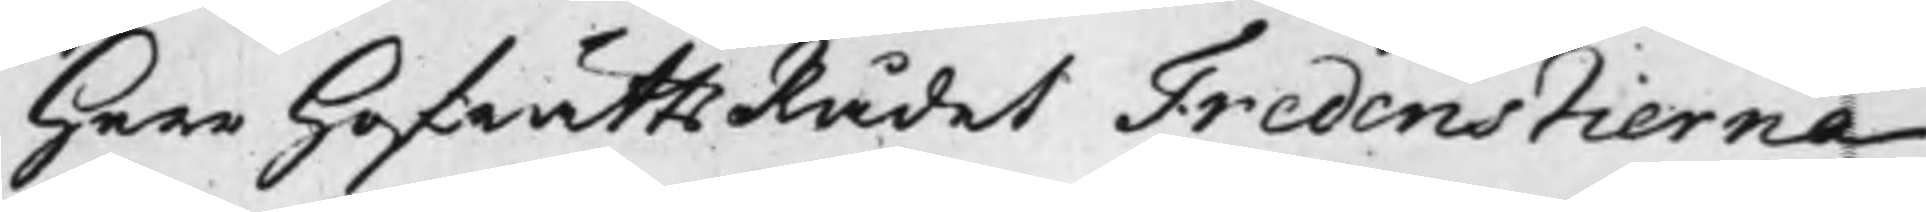Herr HofrättsRådet Fredenstierna
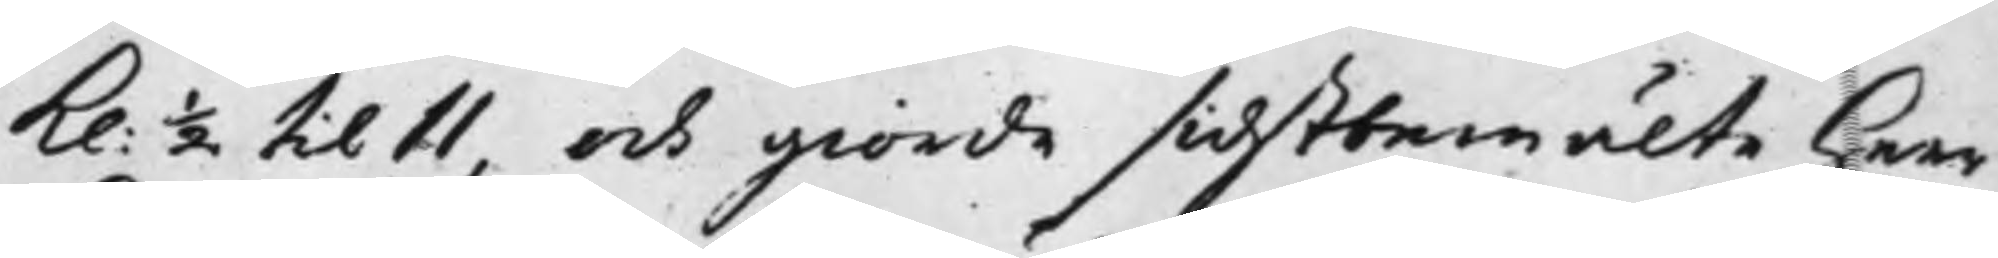Kl: 1/2 till 11, och giorde sidstbemälte Herr
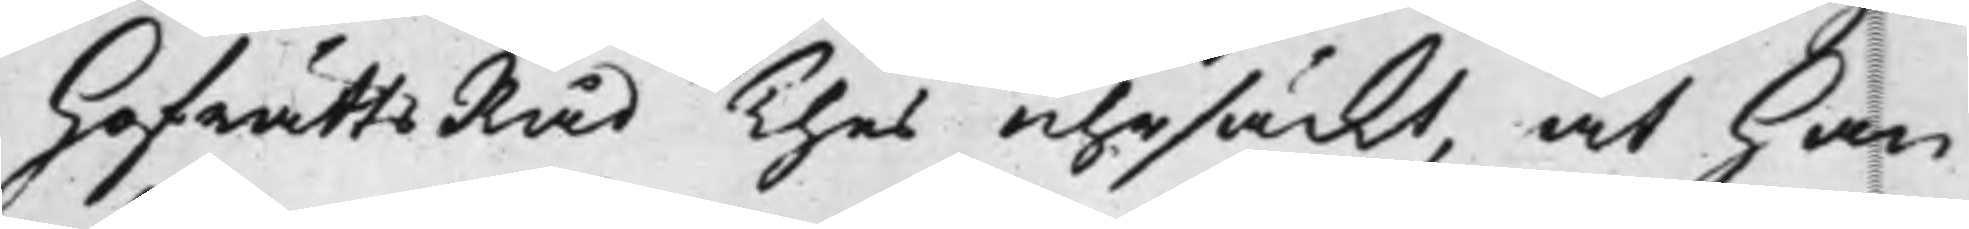HofrättsRåd Thes uhrsäckt, at han
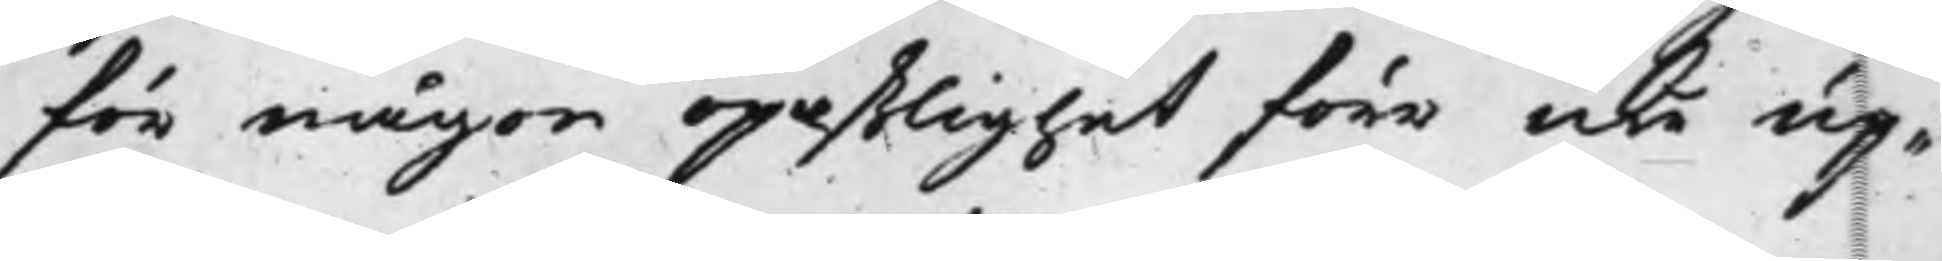för någon opaßlighet förr icke up¬
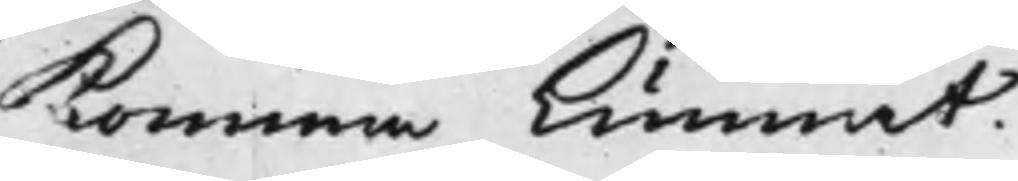komma kunnat.
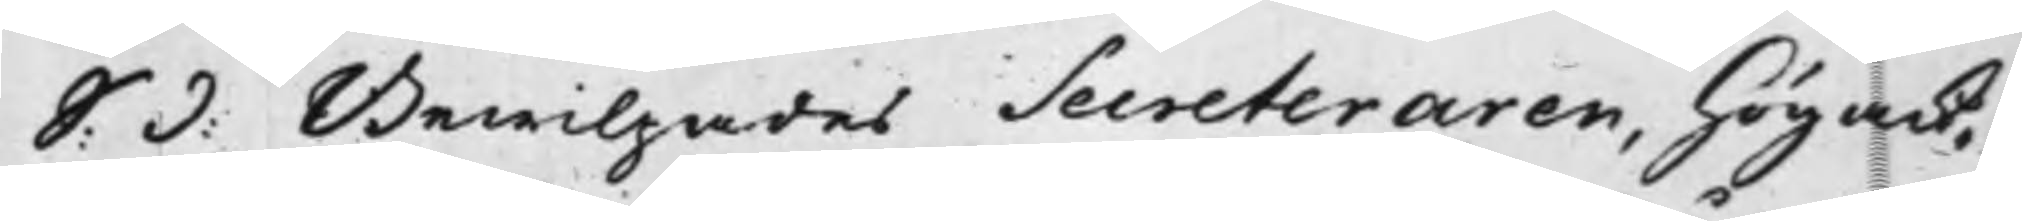S: d: Bewiljades Secreteraren, högack¬
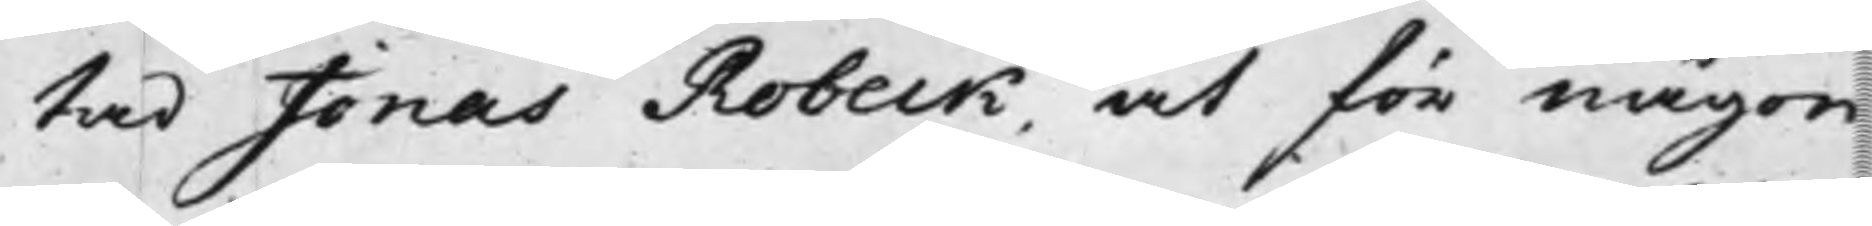tad Jonas Robeck, at för någon
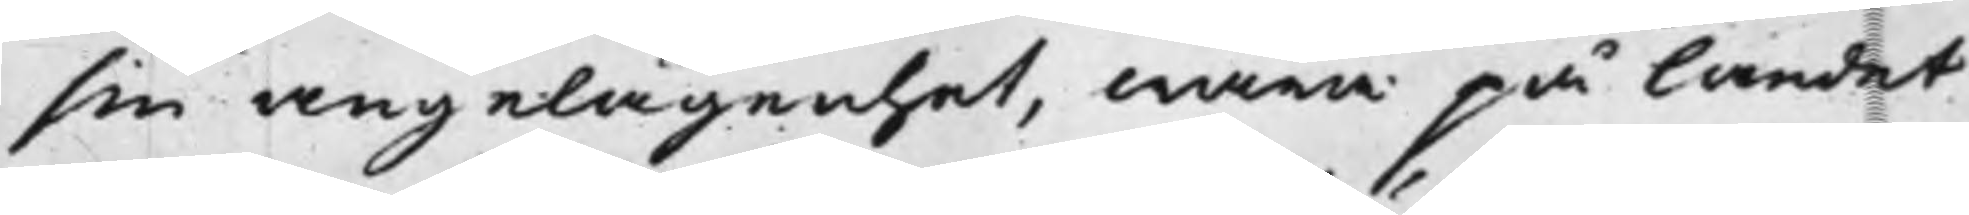sin angelägenhet, wara på landet
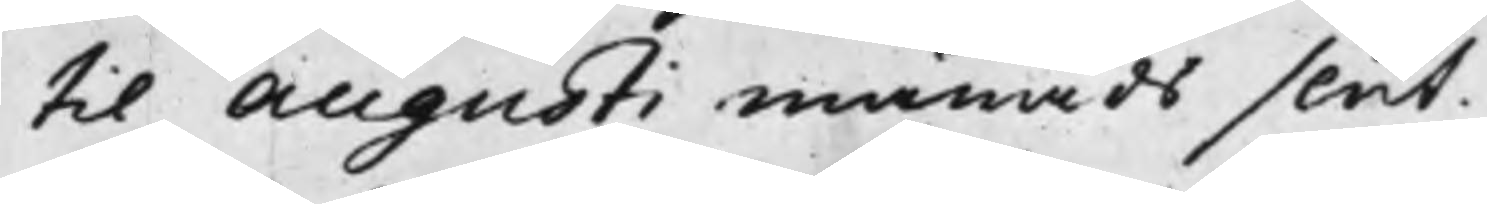til Augusti månads slut.
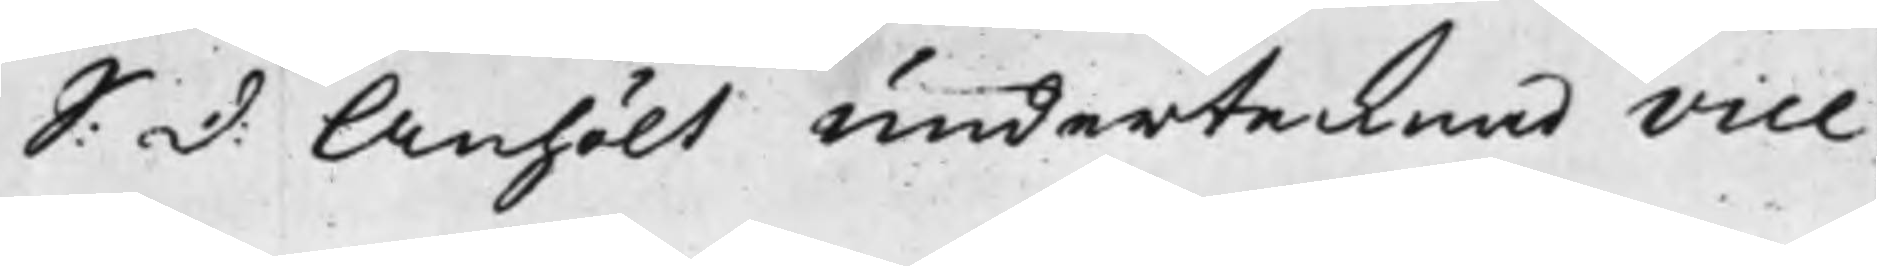S: d: Anhölt undertecknad Vice
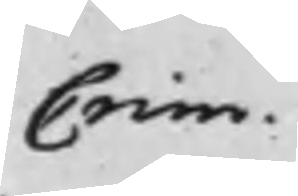Crim.
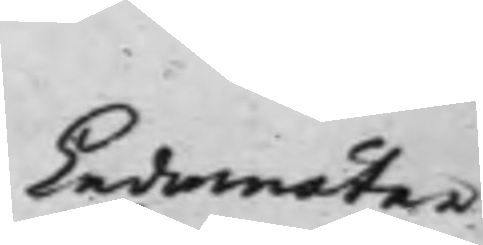Ledamöter
